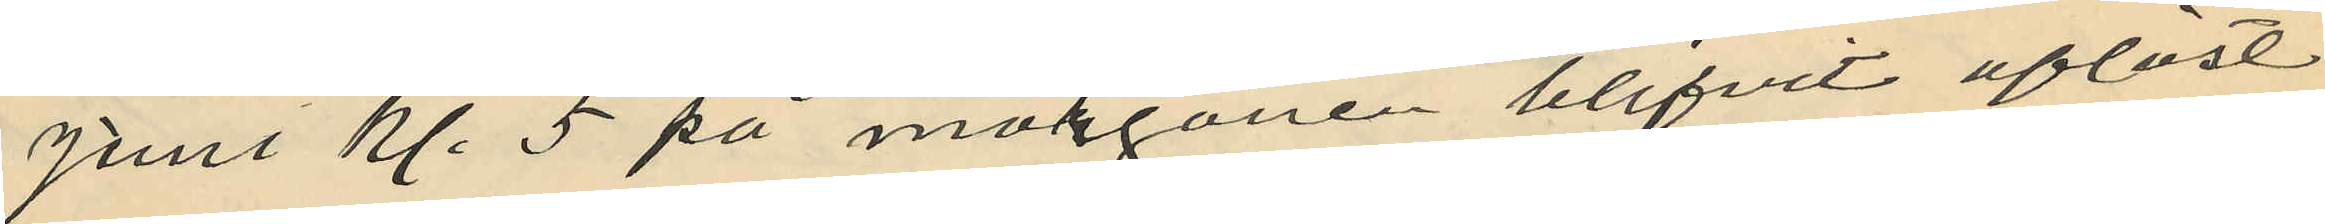juni kl. 5 på morgonen blifvit aflöst
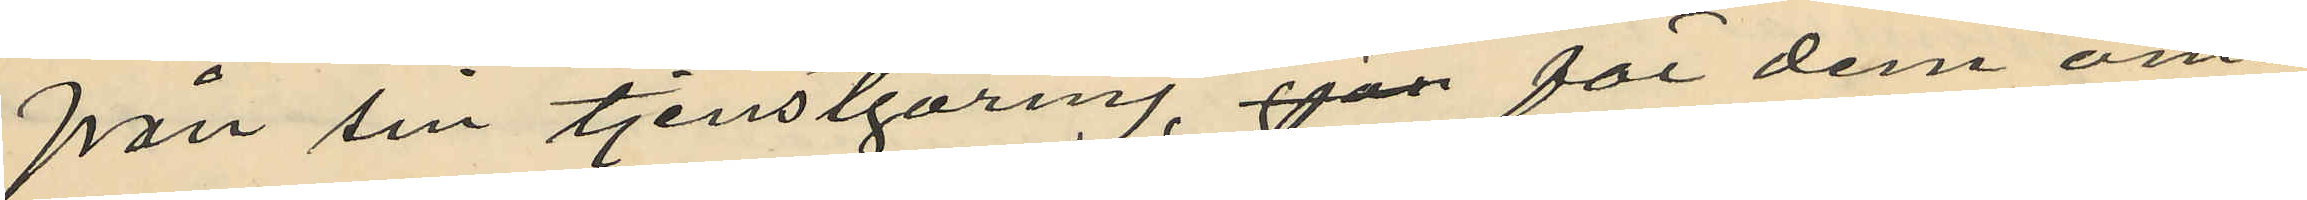från sin tjenstgöring, gjär för dem om¬
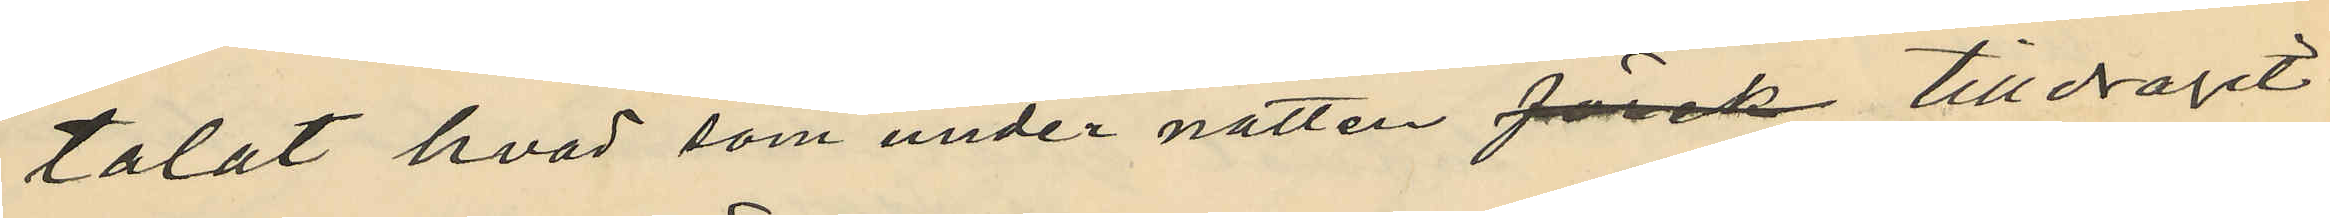talat hvad som under natten Jösck tilldragit
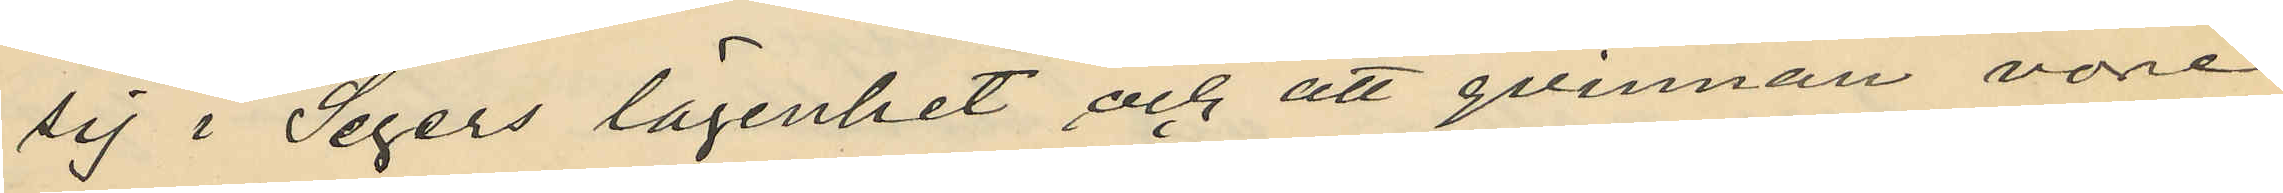sig i Segers lägenhet och att qvinnan vore
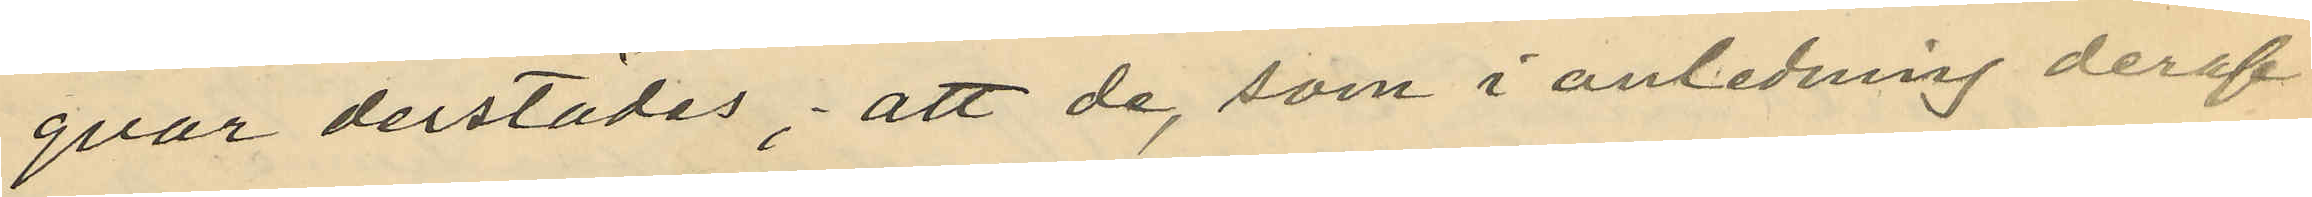qvar derstädes; att de, som i anledning deraf
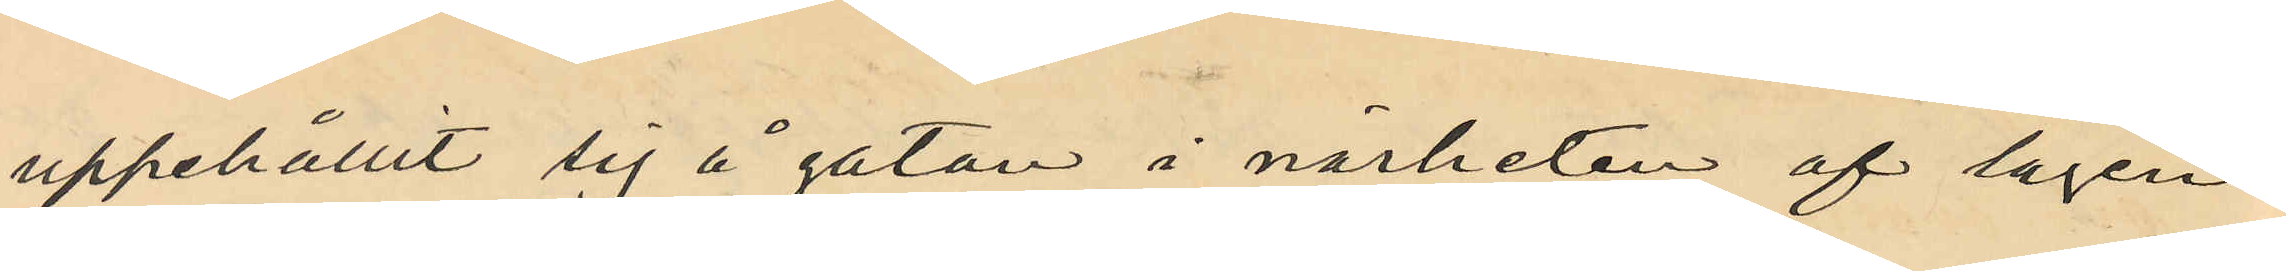uppehållit sig å gatan i närheten af lägen¬
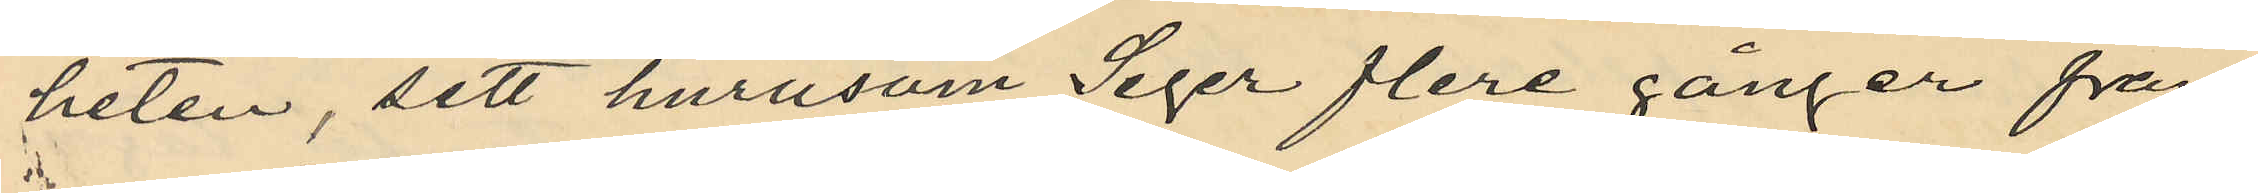heten, sett hurusom Seger flere gånger från
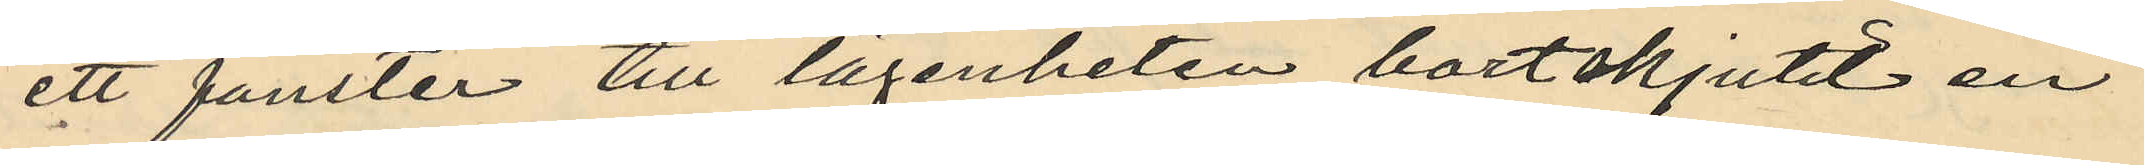ett fönster till lägenheten bortskjutit en
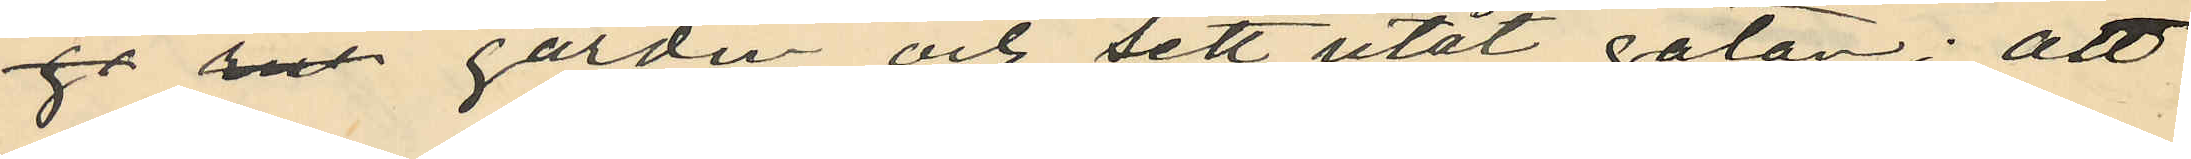go rut gardin och sett utåt gatan; att
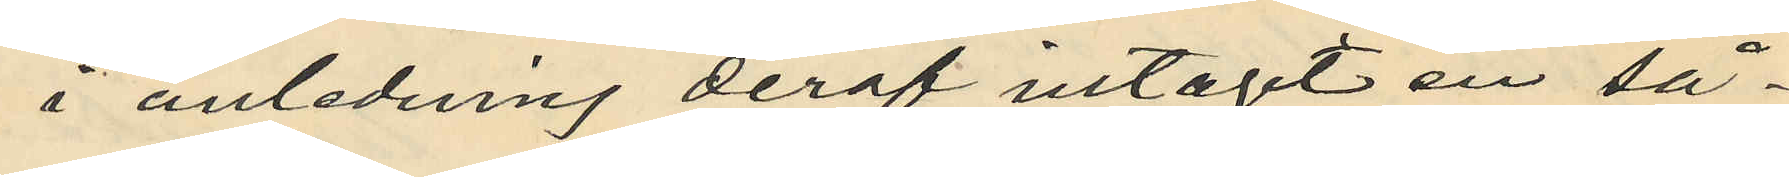i anledning deraf intagit en så¬
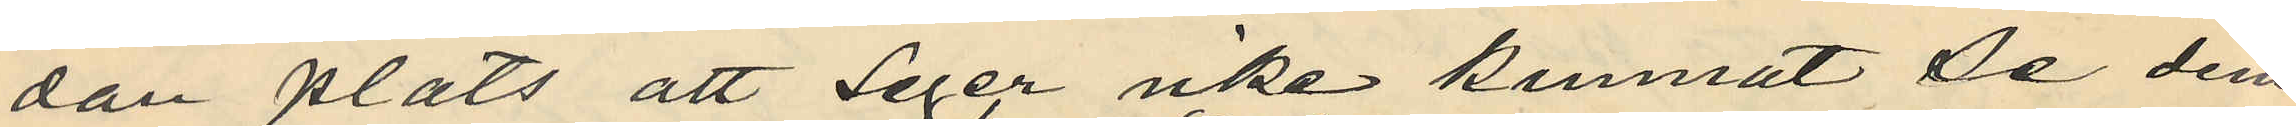dan plats att Seger icke kunnat de dem
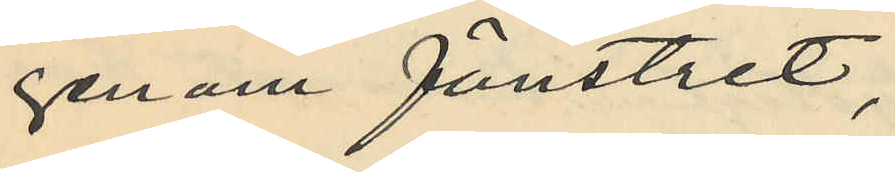genom fönstret,
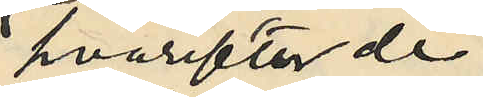hvarefter de
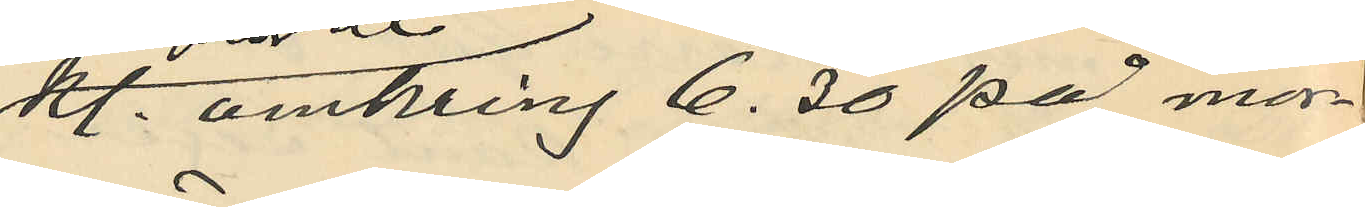kl. omkring 6.30 på mor¬
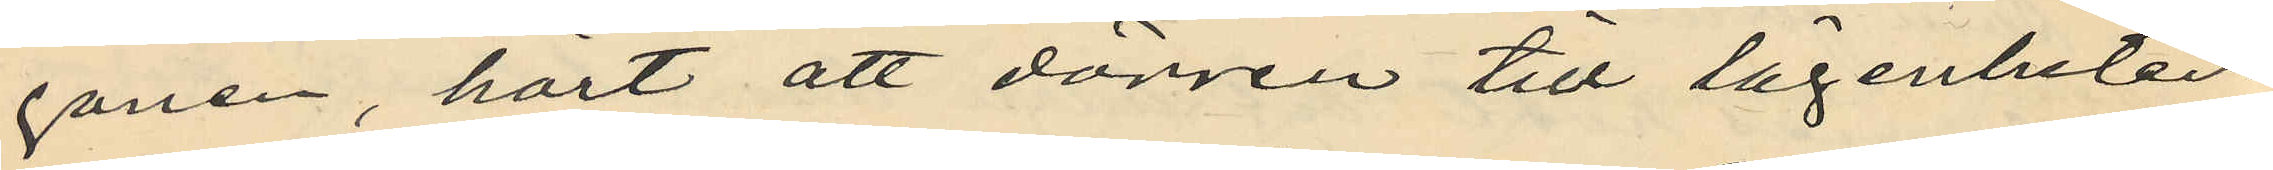gonen, hört att dörren till lägenheten
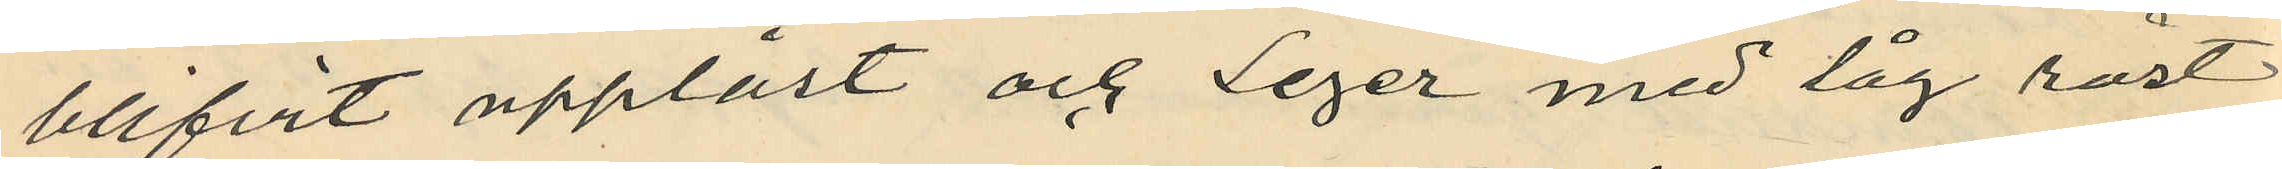blifvit upplåst och Seger med låg röst
